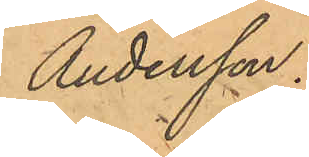Andersson.
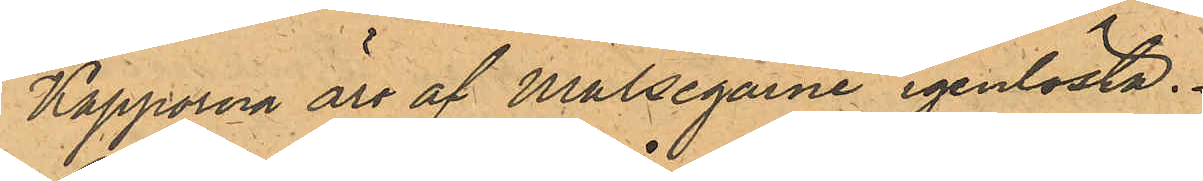Kapporna äro af Målsegarne igenlösta.
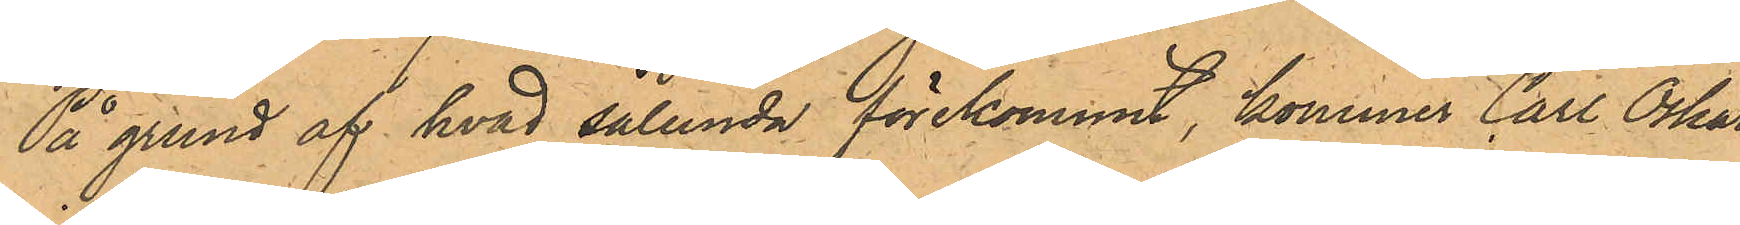På grund af hvad sålunda förekommit, kommer Carl Oskar
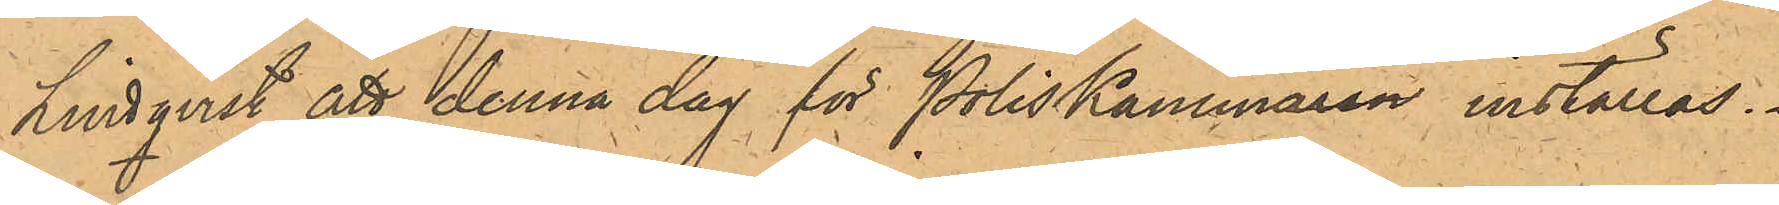Lindqvist att denna dag för Poliskammaren inställas.
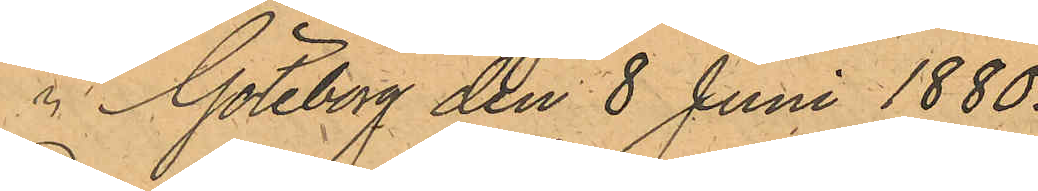 Göteborg den 8 Juni 1880.
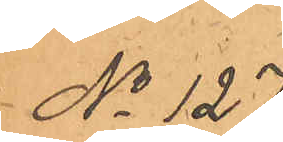No 127.
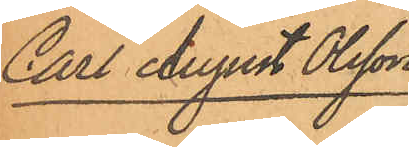Carl August Olsson.
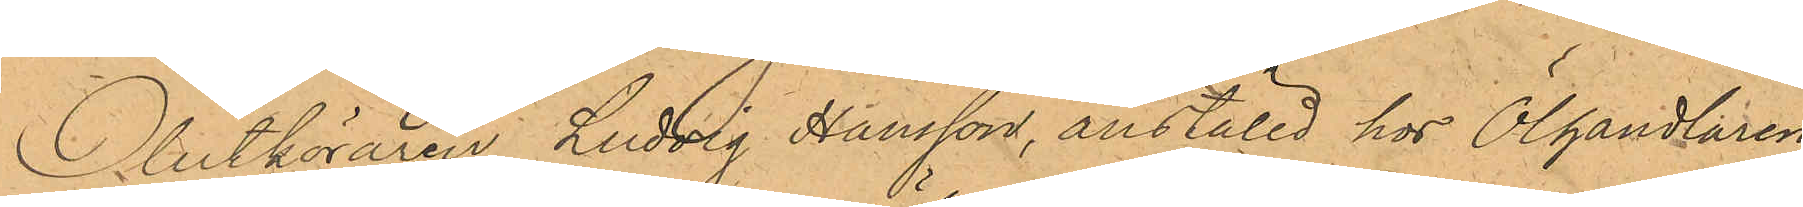Ölutköraren Ludvig Hansson, anställd hos Ölhandlaren
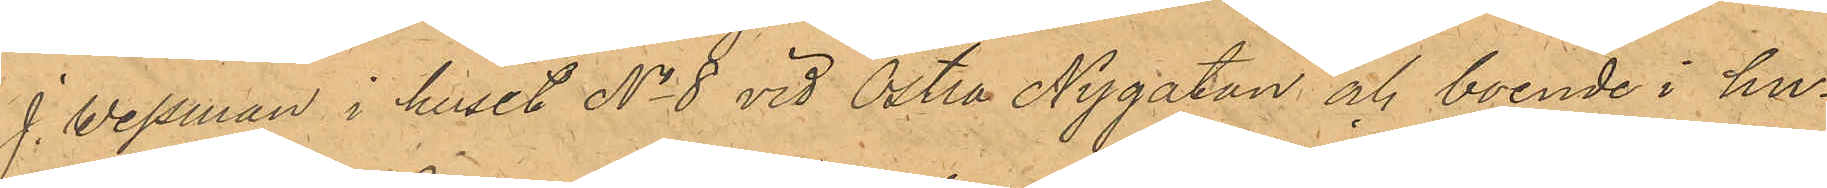J. Wessman i huset No 8 vid Östra Nygatan och boende i hu¬
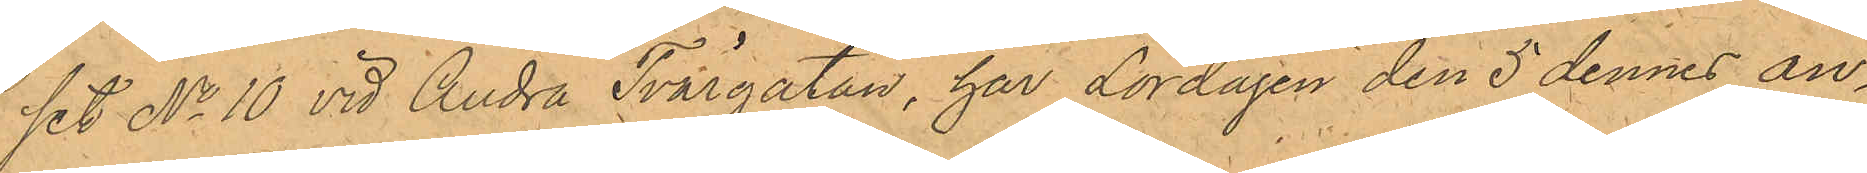set No 10 vid Andra Tvärgatan, har Lördagen den 5 dennes an¬
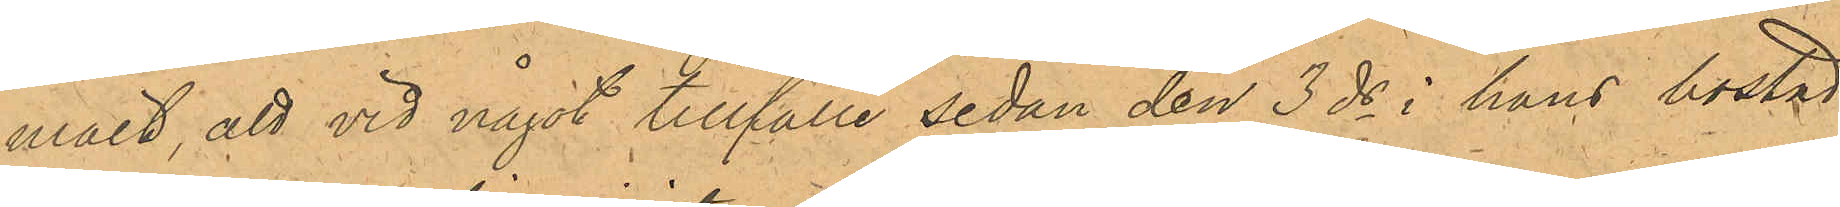mält, att vid något tillfälle sedan den 3 ds i hans bostad
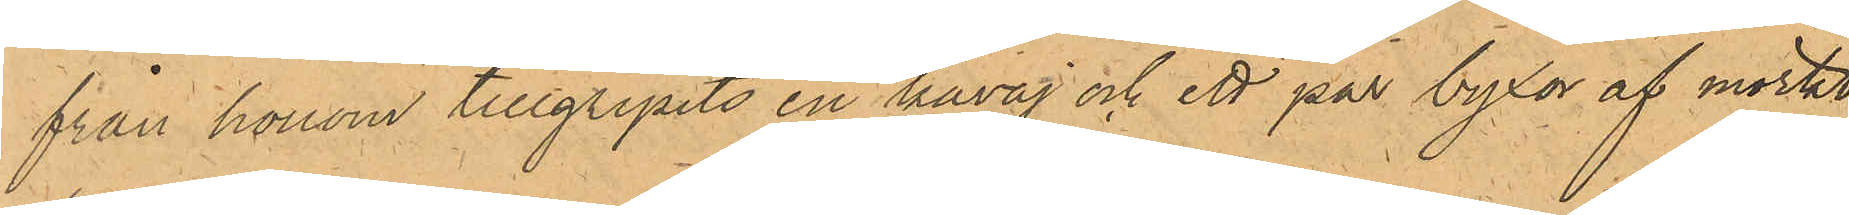från honom tillgripits en kavaj och ett par byxor af mörkt
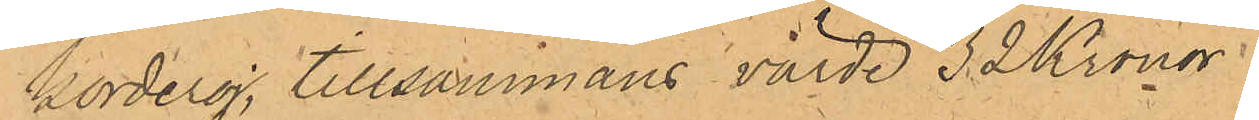korderoj, tillsammans värde 32 Kronor.
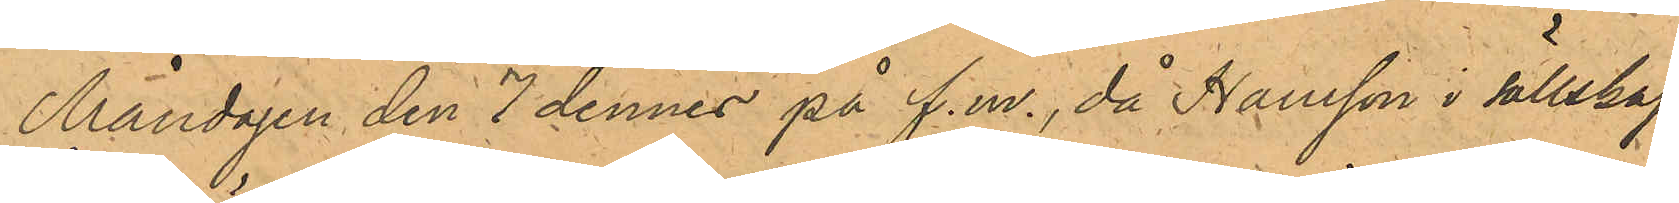Måndagen den 7 dennes på f. m., då Hansson i sällskap
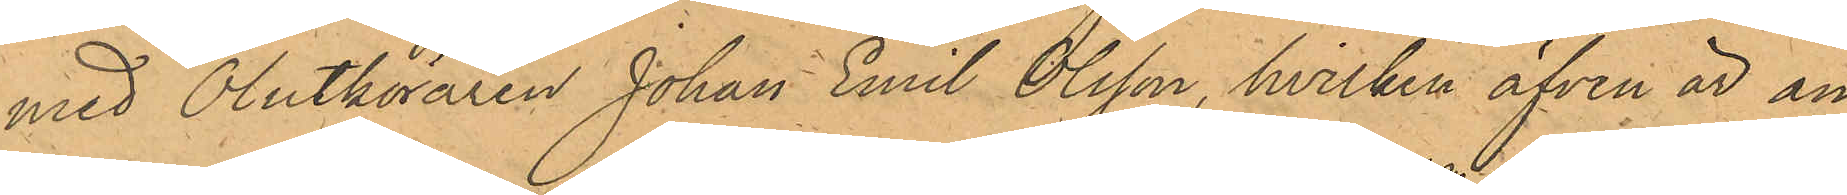med Ölutköraren Johan Emil Olsson, hvilken äfven är an¬
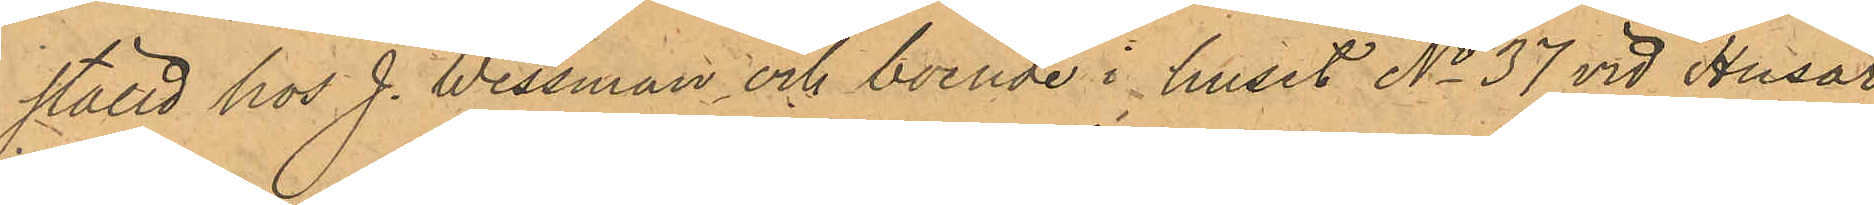ställd hos J. Wessman och boende i huset No 37 vid Husar¬
